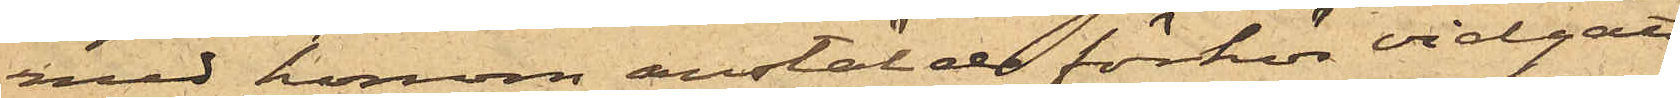med honom anstälde förhör vidgått,
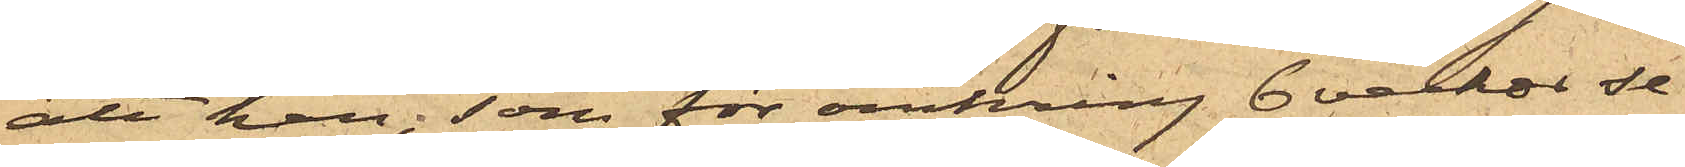att han, som för omkring 6 veckor se¬
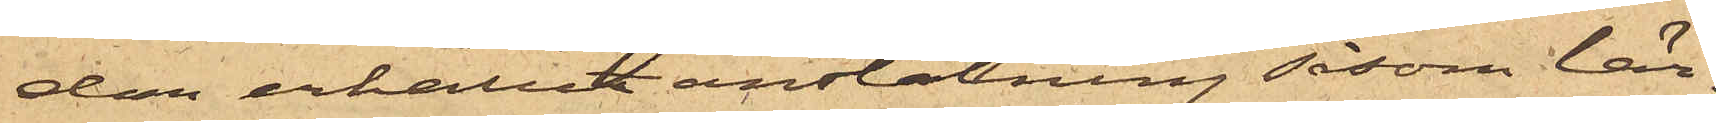dan erhållit anstälning såsom lär¬
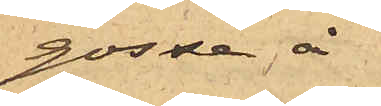gosse å
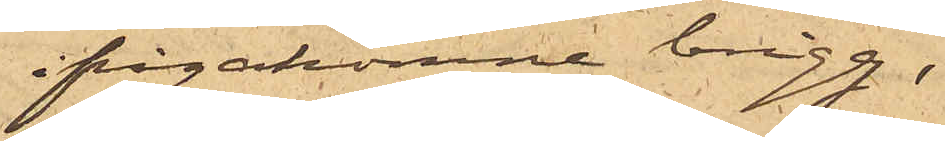ifrågakomne brigg,
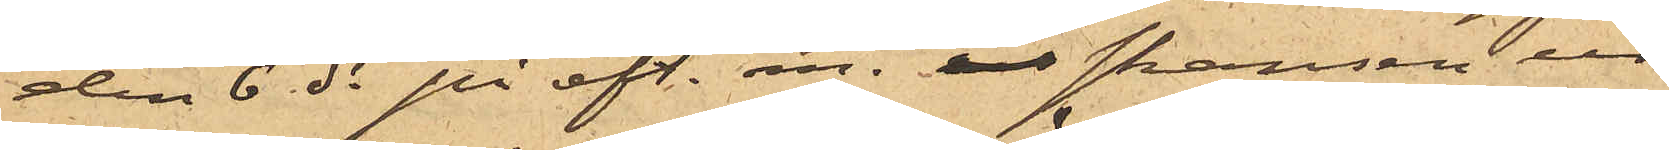den 6 ds på eft. m.  i skansen ur
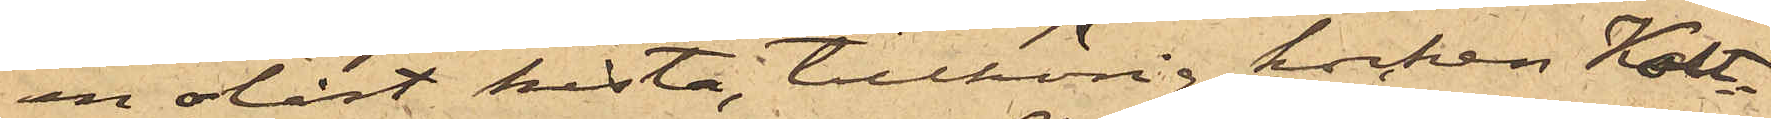en olåst kista, tillhörig kocken Kolt¬
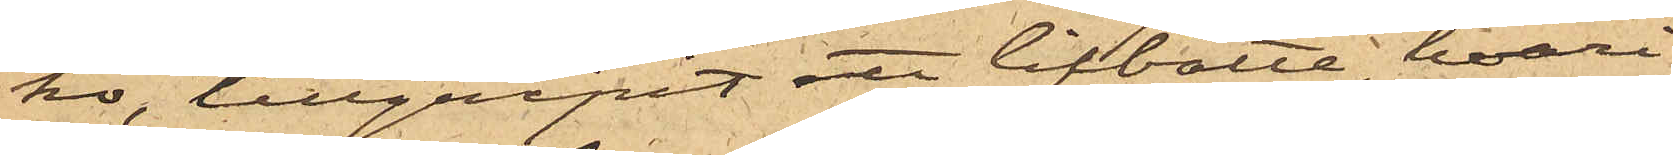ko, tillgripit ett lifbälte, hvari
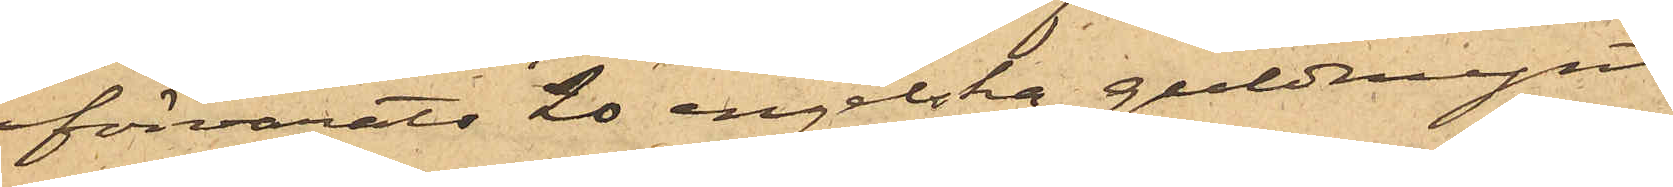förvarats 20 engelska guldmynt
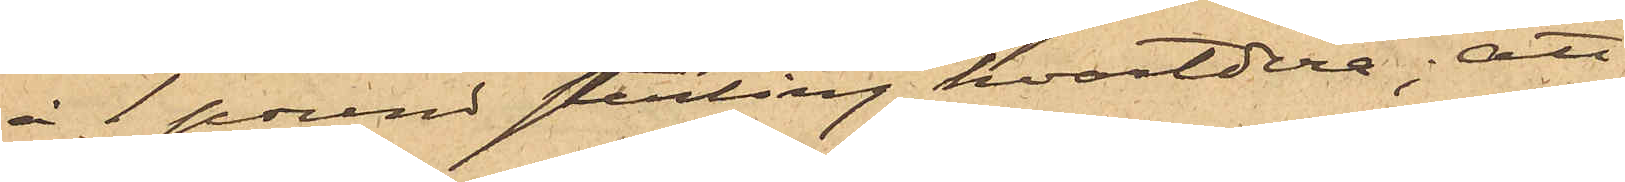à 1 pound sterling hvartdera; att
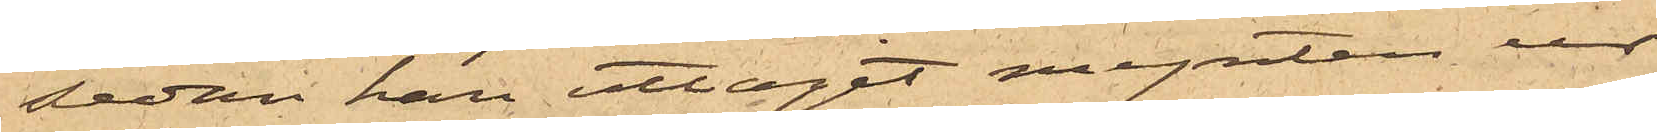sedan han uttagit mynten ur
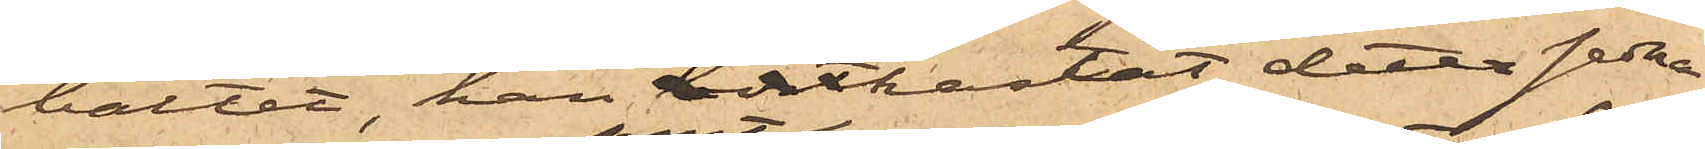bältet, han bortkastat detta sedna¬
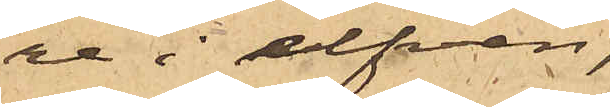re i elfven;
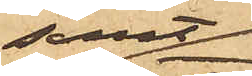samt
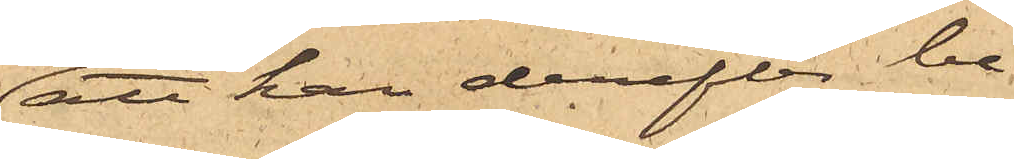att han derefter be¬
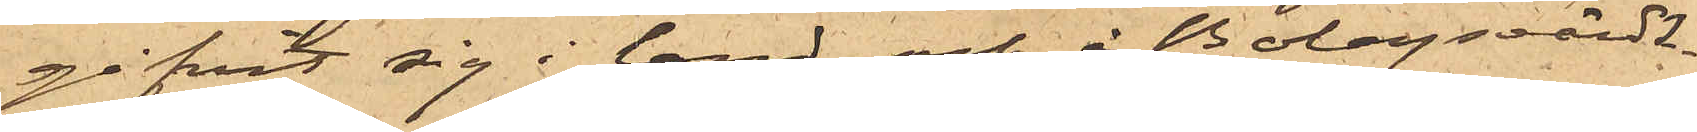gifvit sig i land och å Bolagsvärds¬
